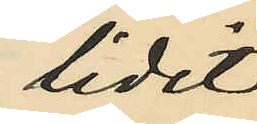lidit
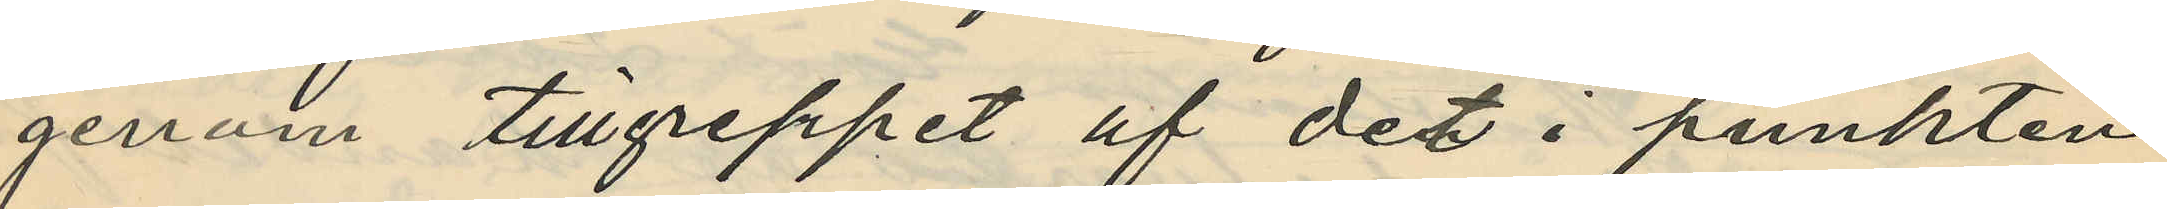genom tillgreppet af det i punkten
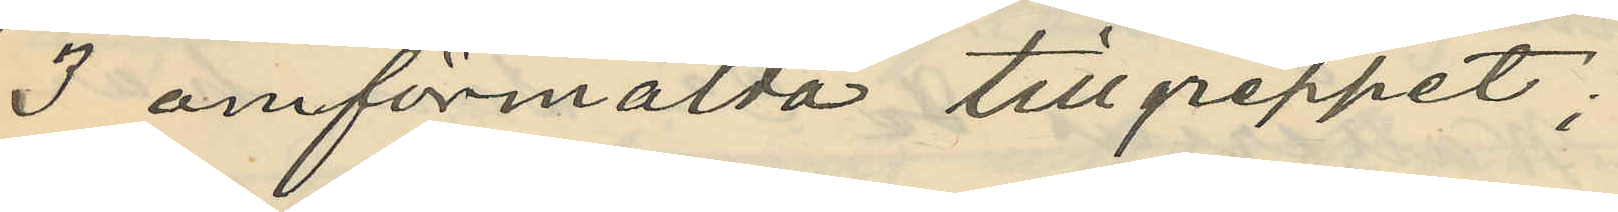3 omförmälda tillgreppet;
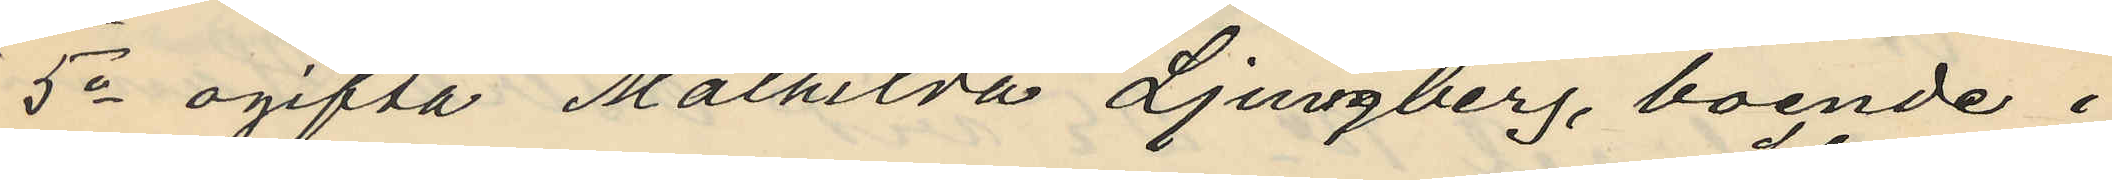5o ogifta Mathilda Ljungberg, boende i
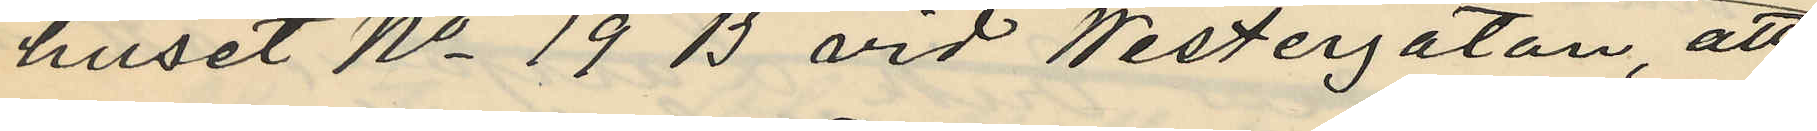huset No 19 B vid Westergatan, att
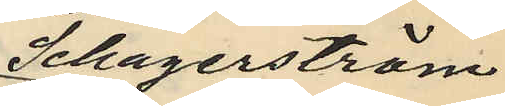Schagerström
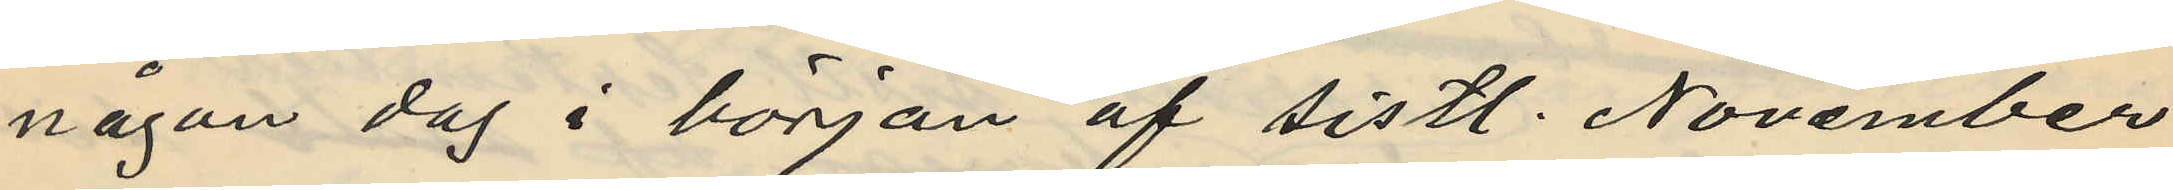någon dag i början af sistl. November
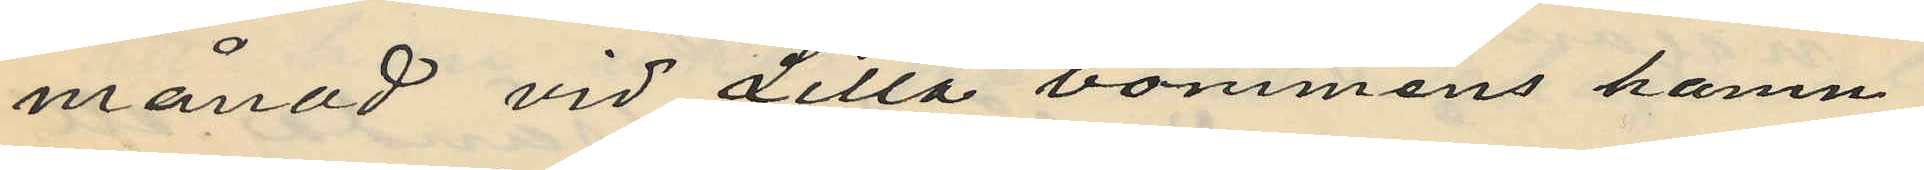månad vid Lilla bommens hamn
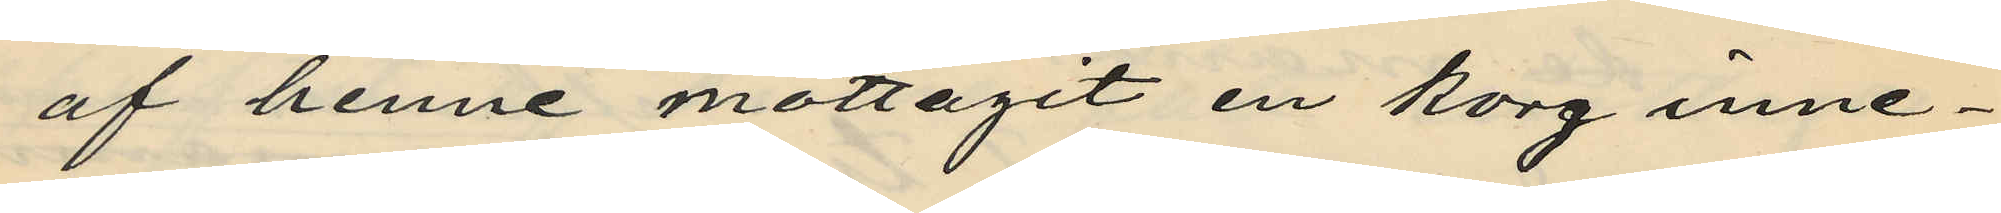af henne mottagit en korg inne¬
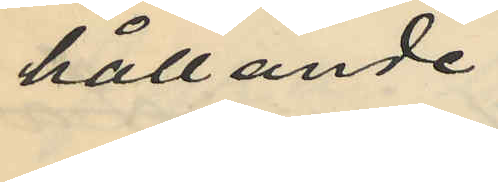hållande
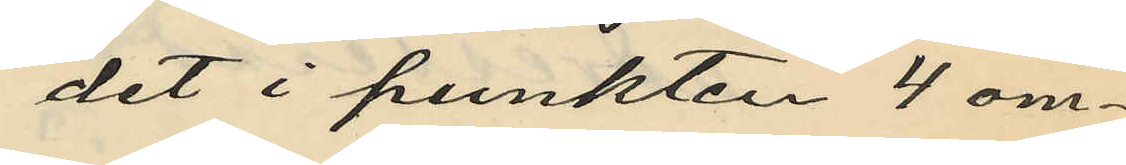det i punkten 4 om¬
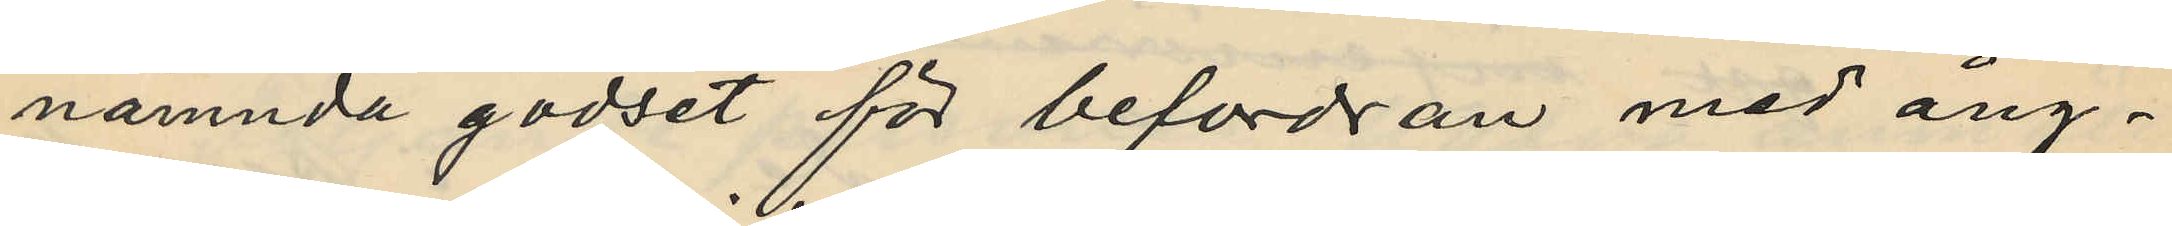nämnda godset för befordran med ång¬
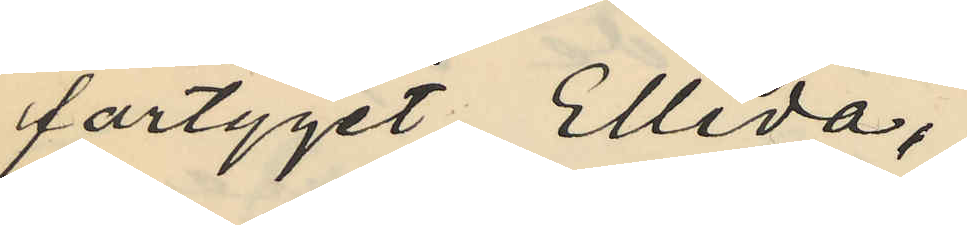fartyget Ellida,
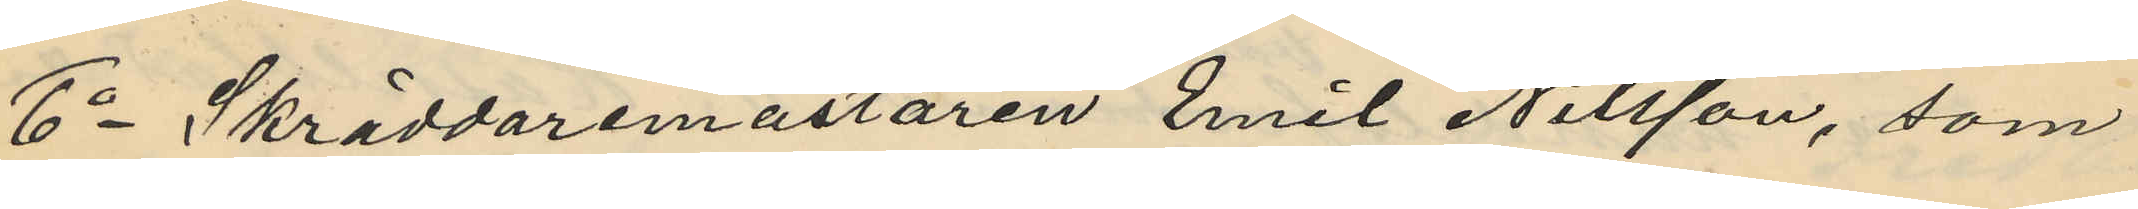6o Skräddaremästaren Emil Nilsson, som
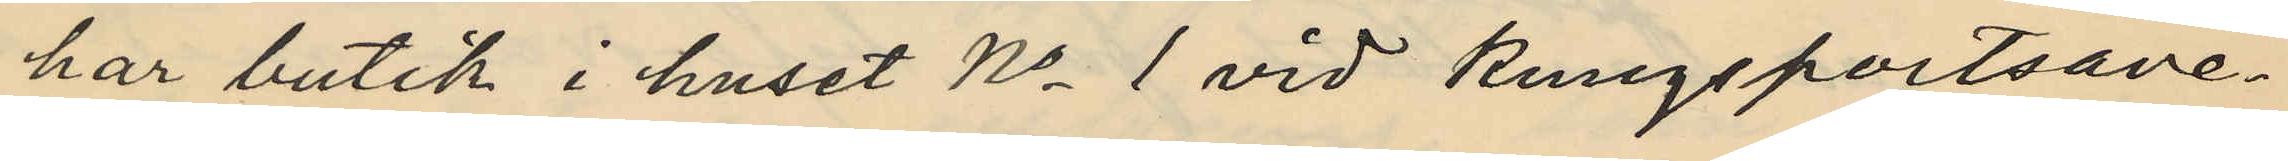har butik i huset No 1 vid Kungsportsave¬
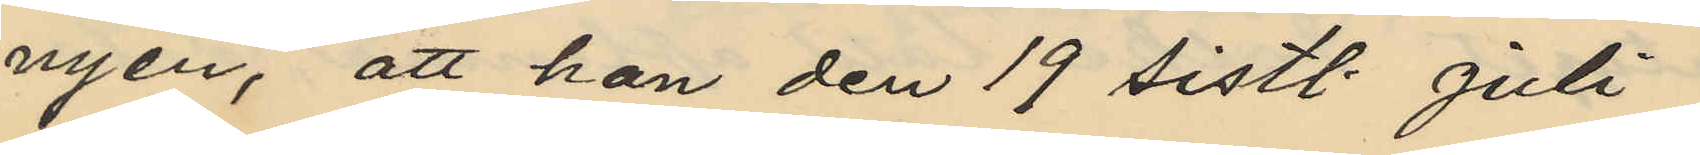nyen, att han den 19 sistl. Juli
